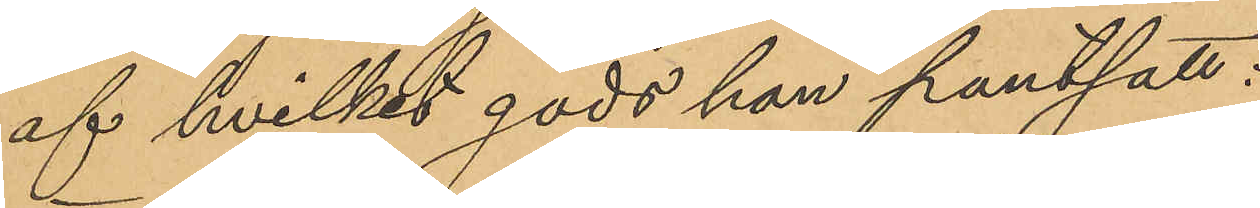af hvilket gods han pantsatt:
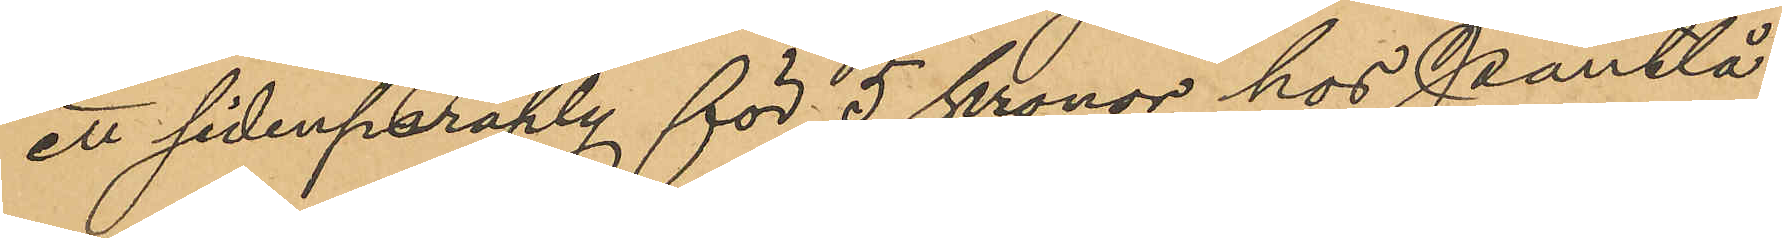ett sidenparaply för 5 kronor hos Pantlå¬
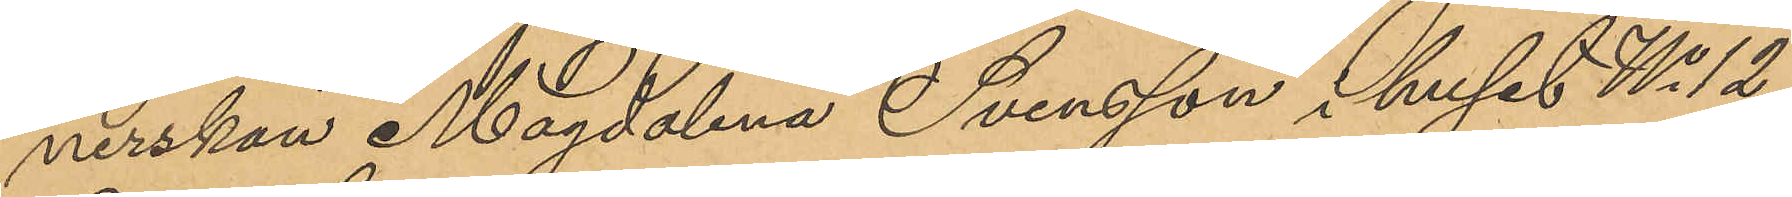nerskan Magdalena Svensson i huset No 12
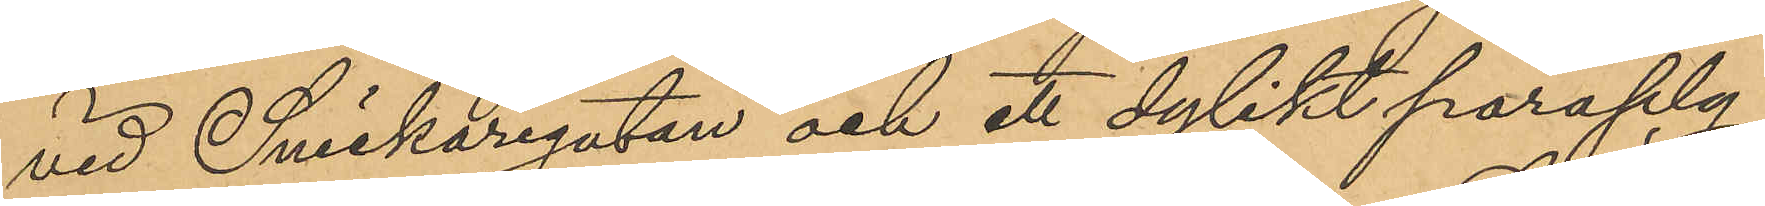vid Snickaregatan och ett dylikt paraply
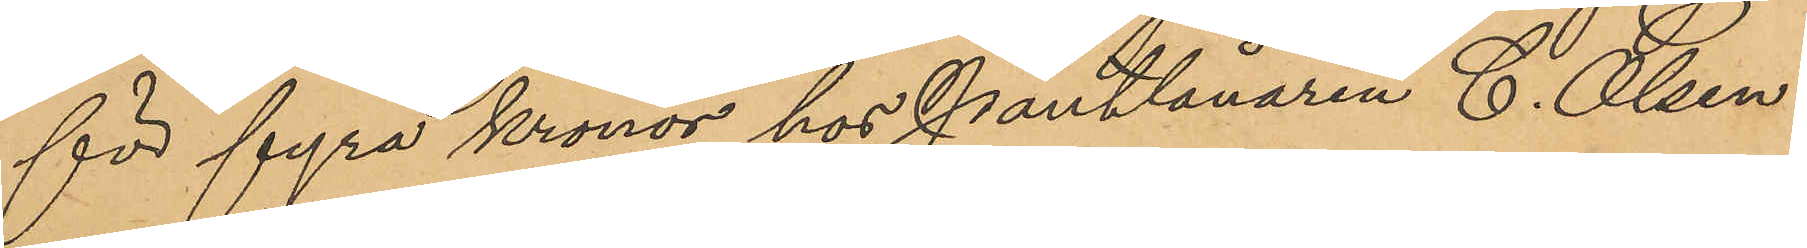för fyra kronor hos Pantlånaren C. Olsen
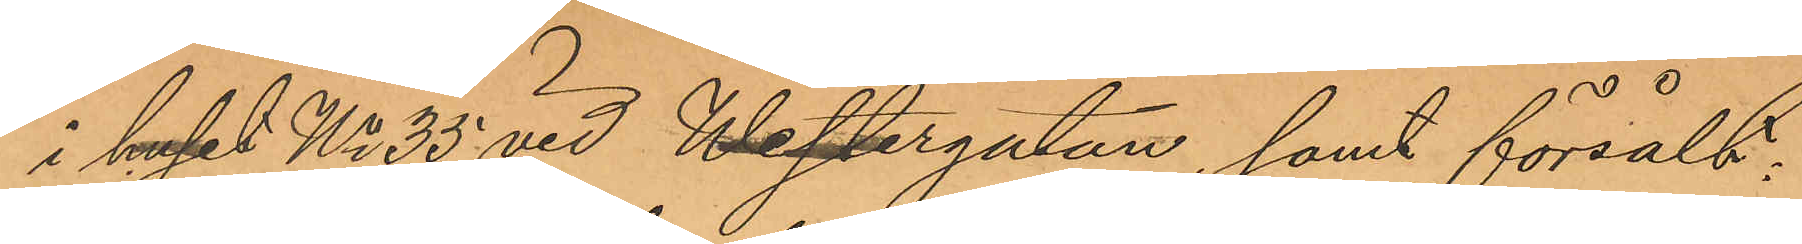i huset No 35 vid Westergatan, samt försålt:
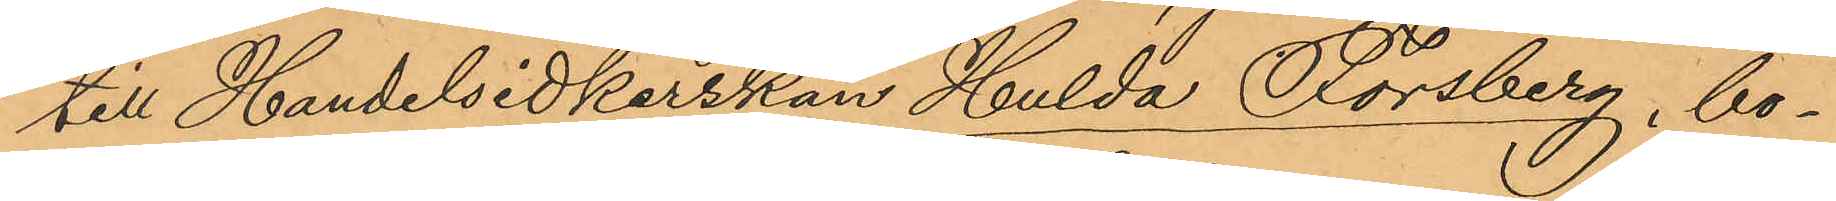till Handelsidkerskan Hulda Forsberg, bo¬
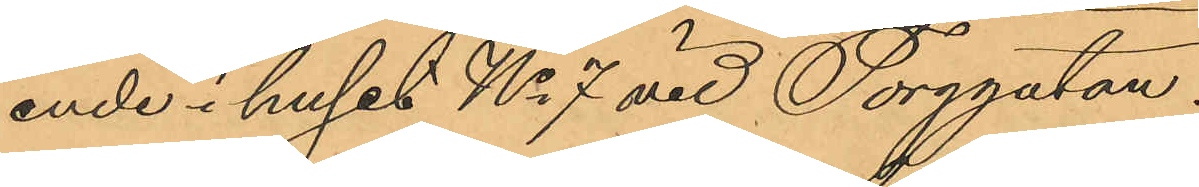ende i huset No 7 vid Torggatan:
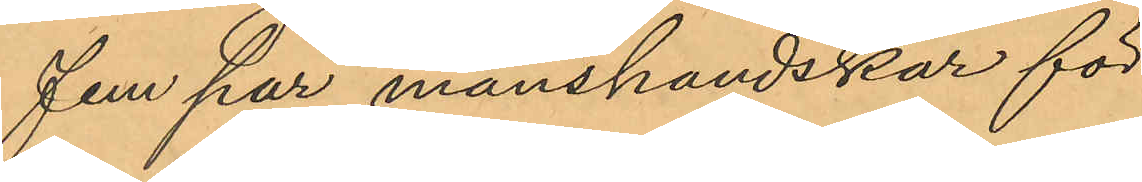fem par manshandskar för
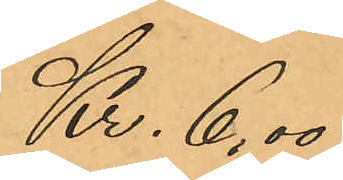Kr. 6,00
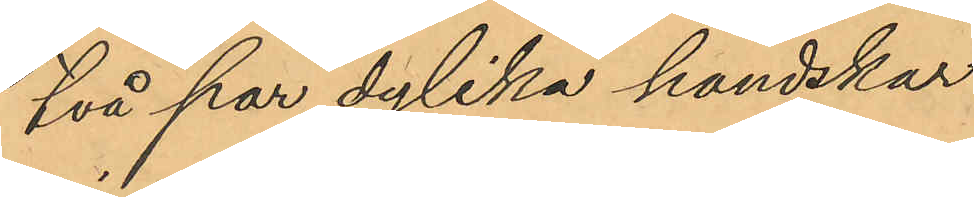två par dylika handskar
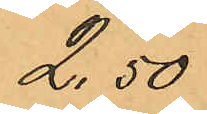2,50
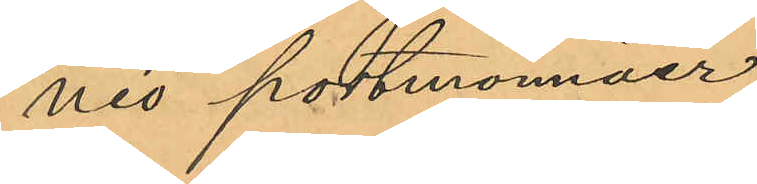nio portmonnäer
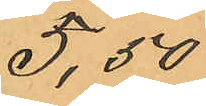5,50
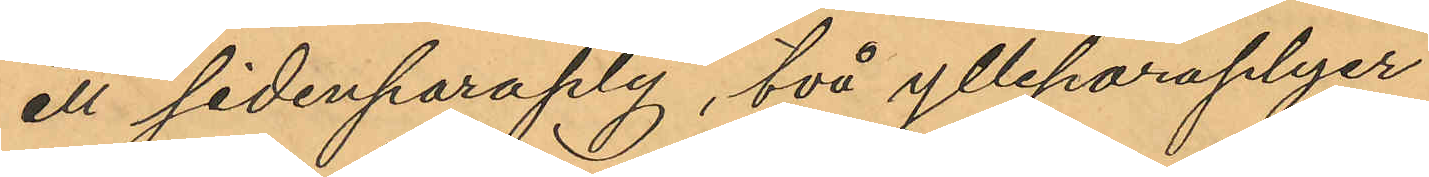ett sidenparaply, två ylleparaplyer
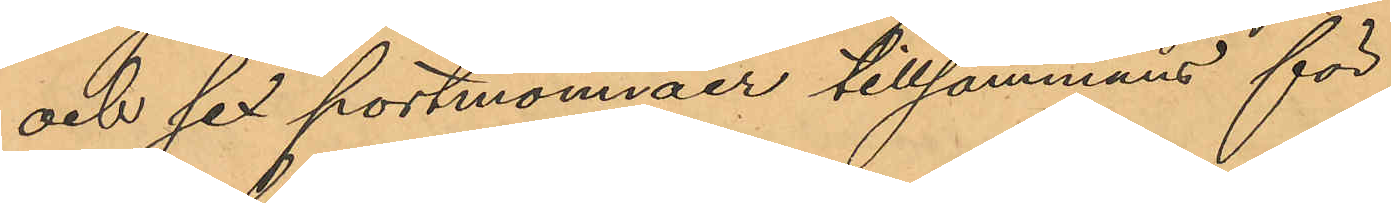och sex portmonnäer tillsammans för
